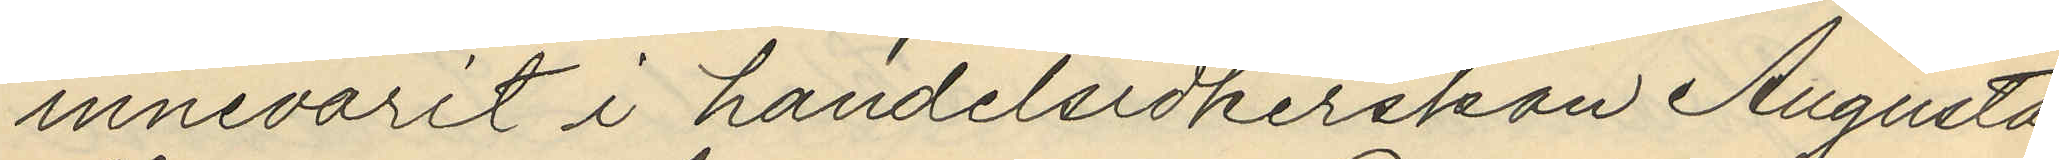innevarit i handelsidkerskan Augusta
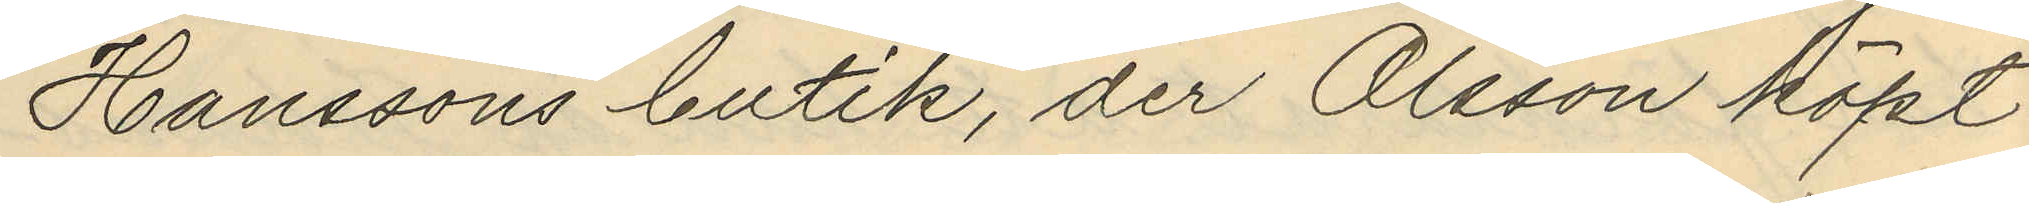Hanssons butik, der Olsson köpt
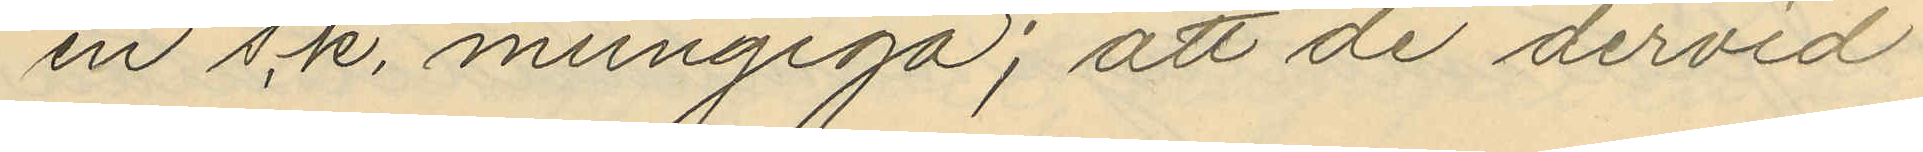en s.k. mungiga; att de dervid
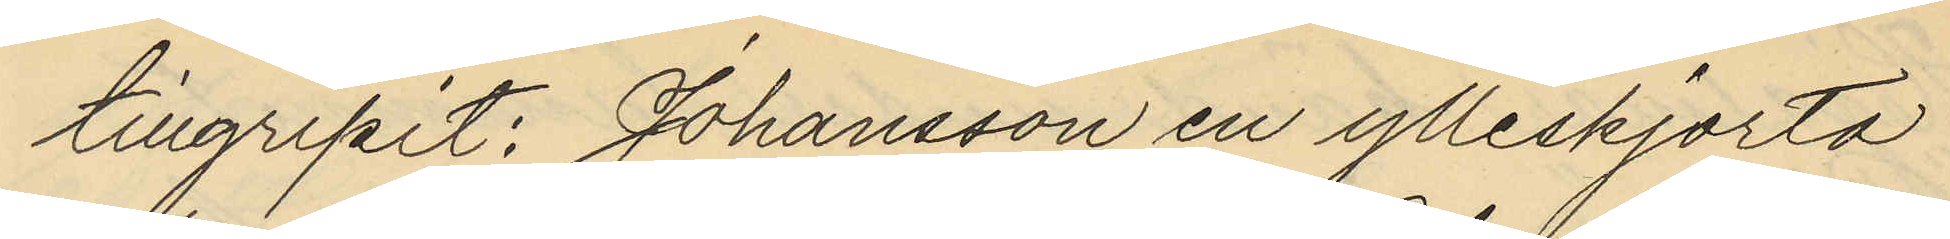tillgripit: Johansson en ylleskjorta
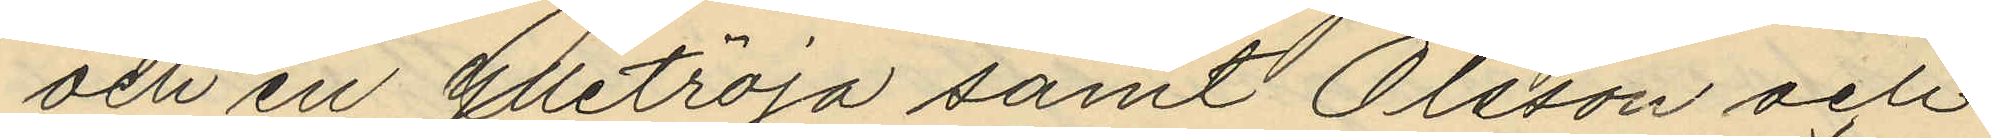och en ylletröja samt Olsson och
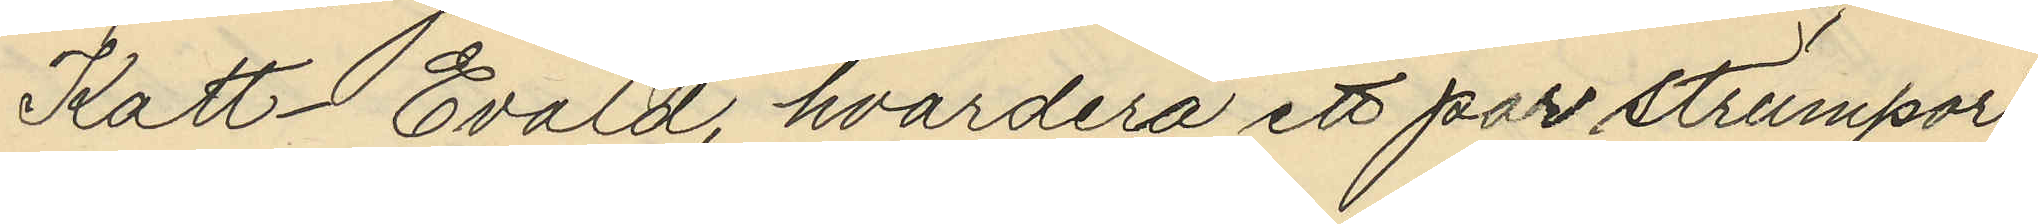Katt-Evald, hvardera ett par strumpor;
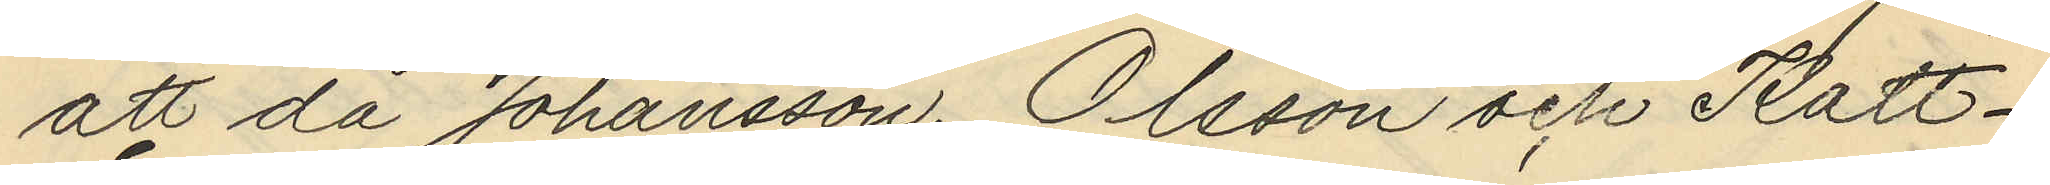att då Johansson, Olsson och Katt-
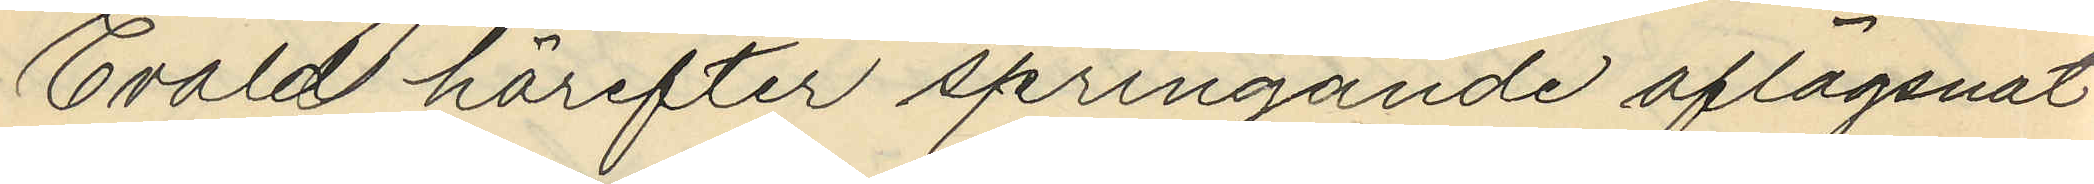Evald härefter springande aflägsnat
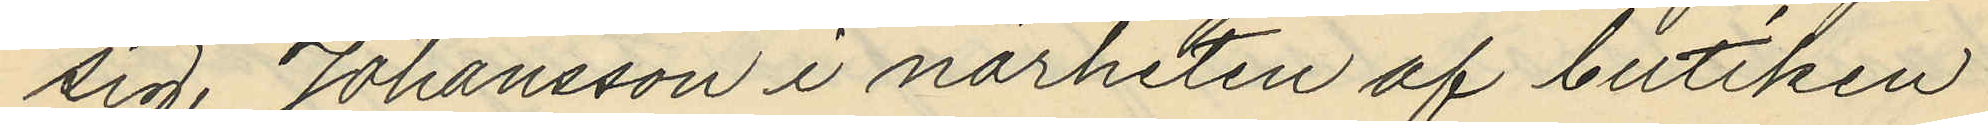sig, Johansson i närheten af butiken
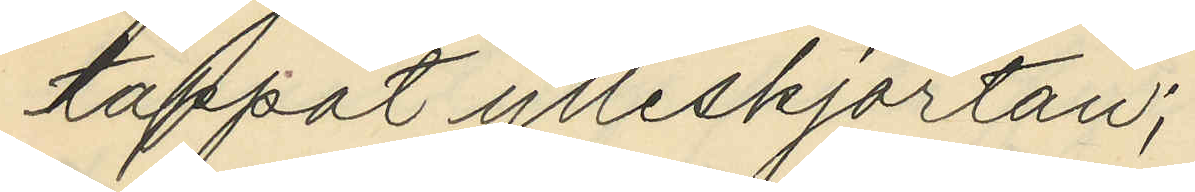tappat ylleskjortan;
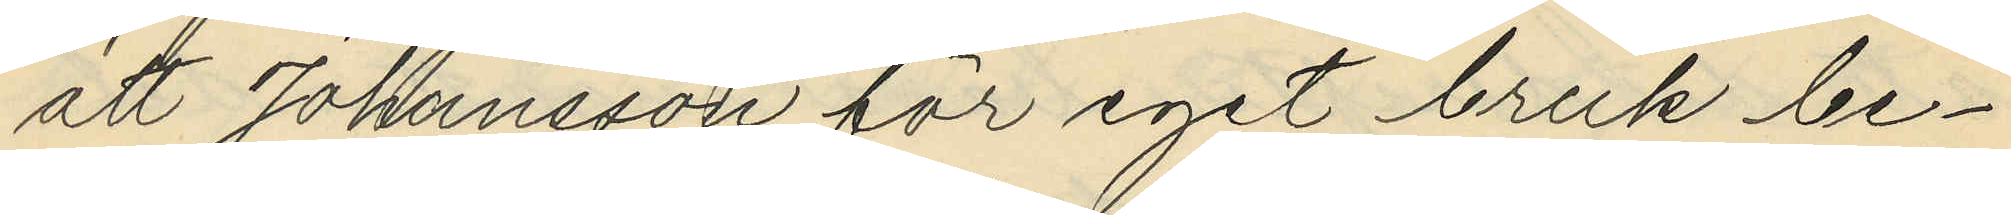att Johansson för eget bruk be¬
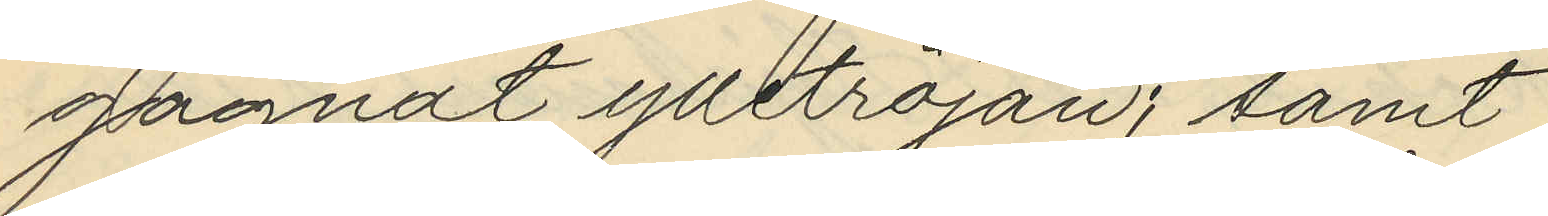gagnat ylletröjan; samt
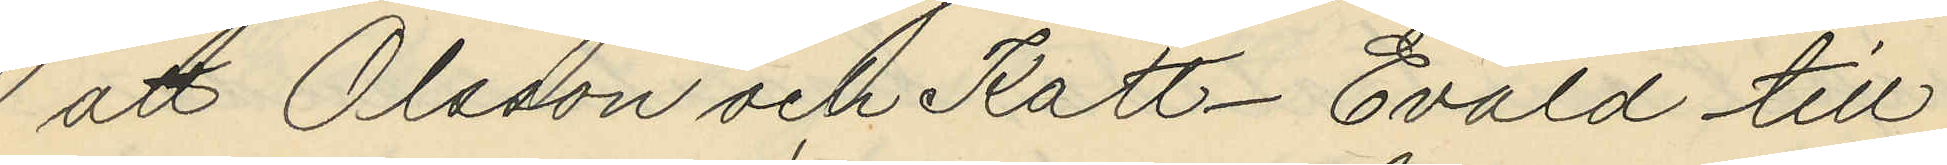att Olsson och Katt-Evald till
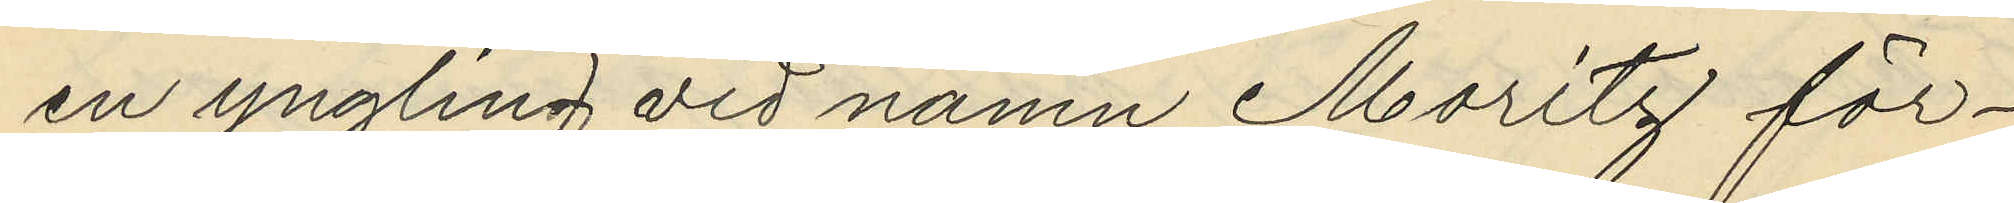en yngling vid namn Moritz för¬
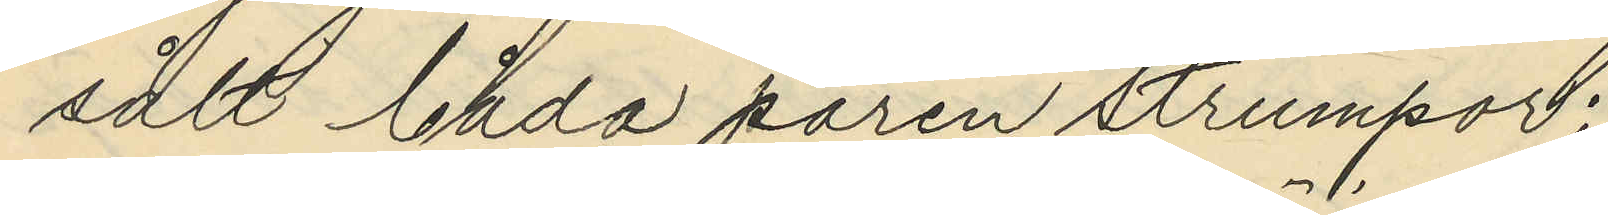sålt båda paren strumpor;
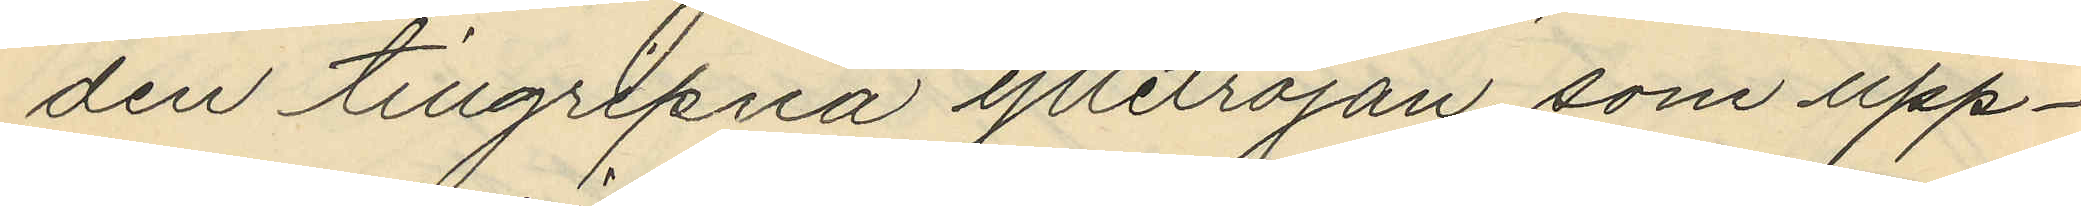den tillgripna ylletröjan som upp¬
